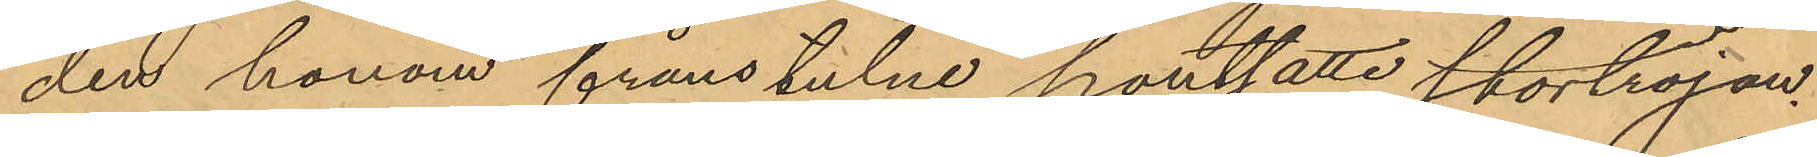den honom frånstulne pantsatta stortröjan.
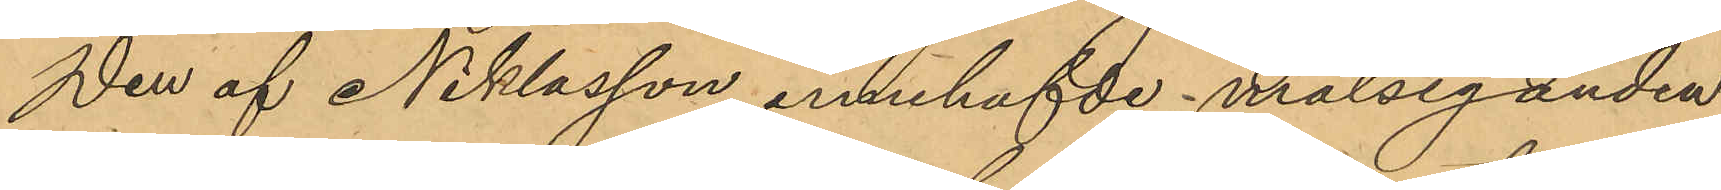Den af Niklasson innehafde målseganden
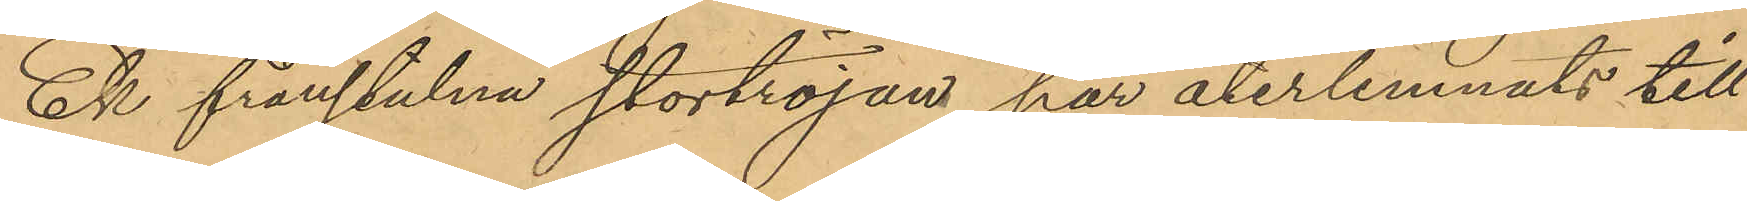Ek frånstulna stortröjan har återlemnats till
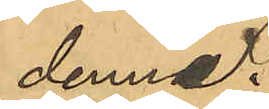denne.
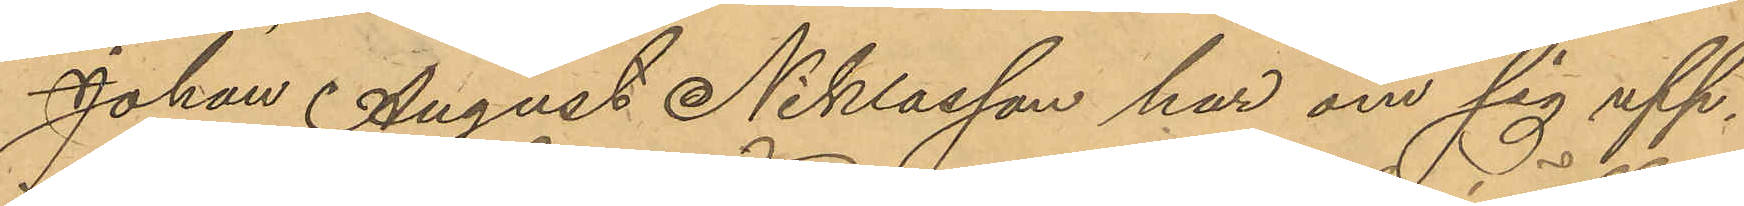Johan August Niklasson har om sig upp¬
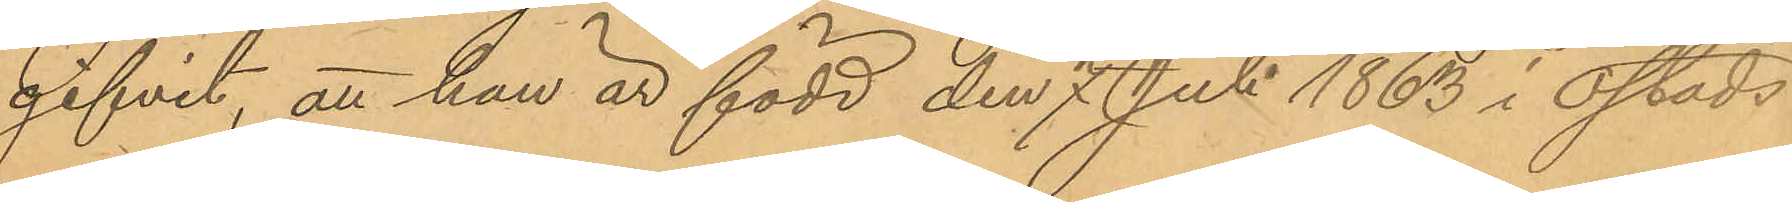gifvit, att han är född den 7 Juli 1863 i Östads
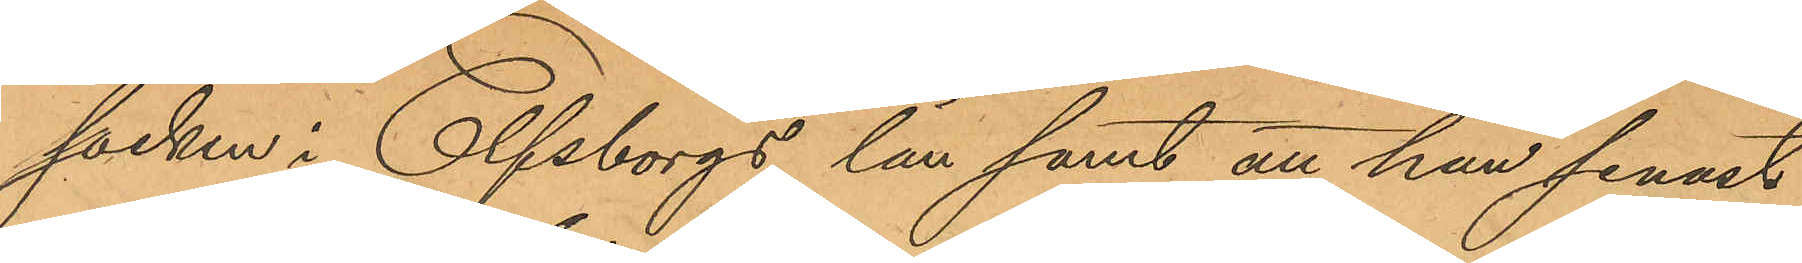socken i Elfsborgs län samt att han senast
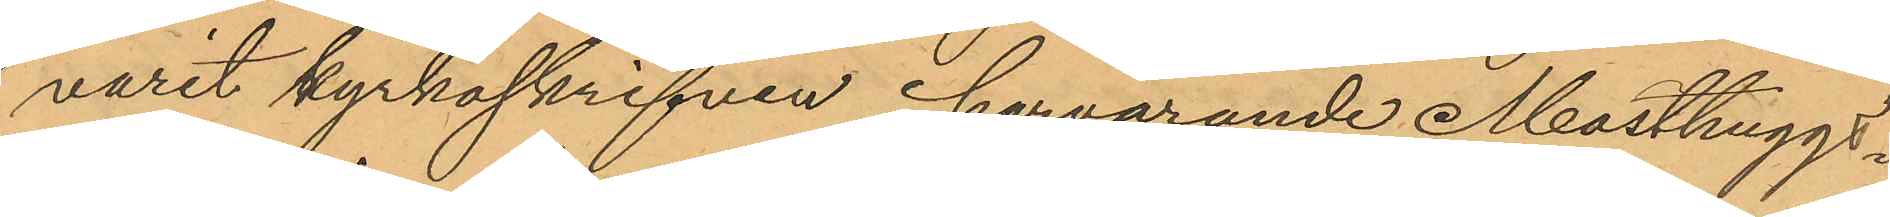varit kyrkoskrifven i härvarande Masthuggs¬
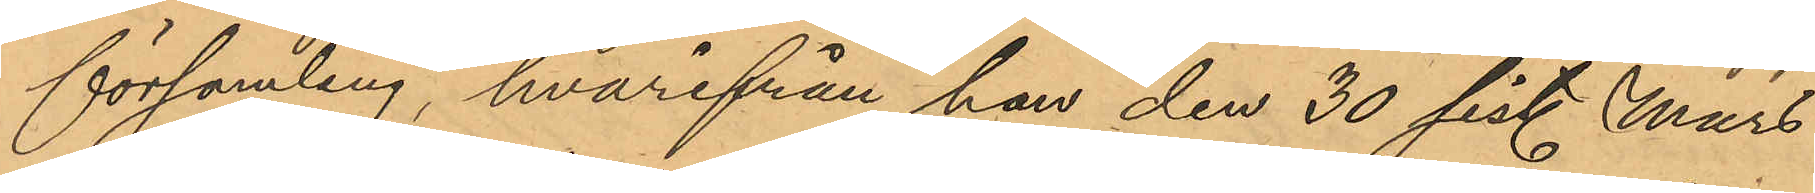församling, hvarifrån han den 30 sist. Mars
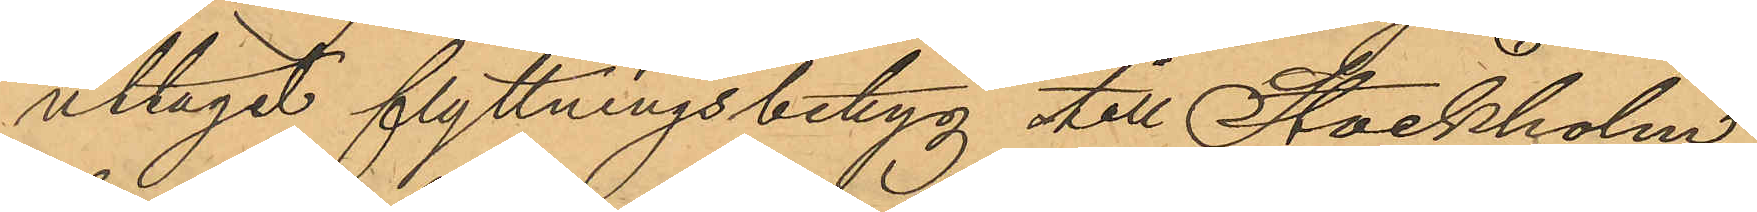uttagit flyttningsbetyg till Stockholm,
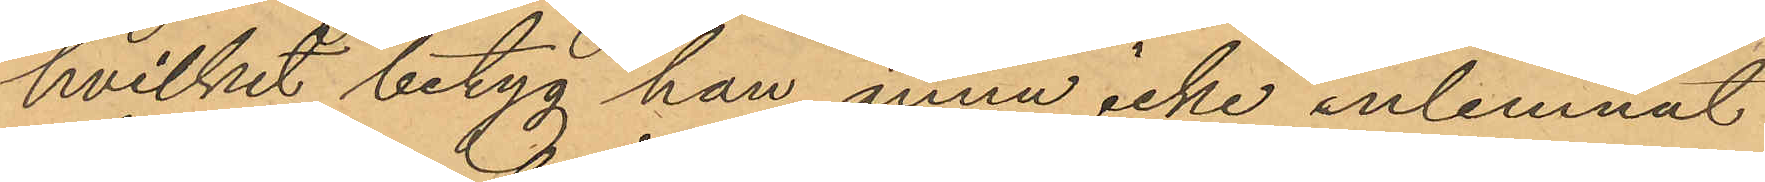hvilket betyg han ännu icke inlemnat
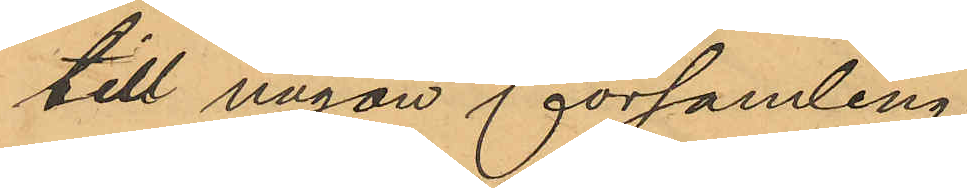till någon församling.
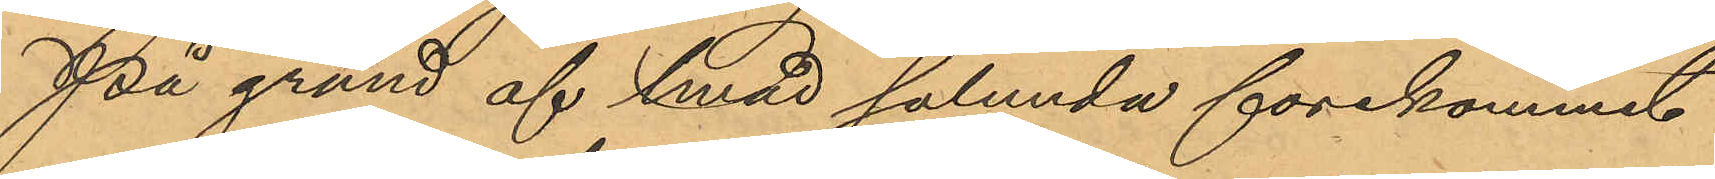På grund af hvad sålunda förekommit
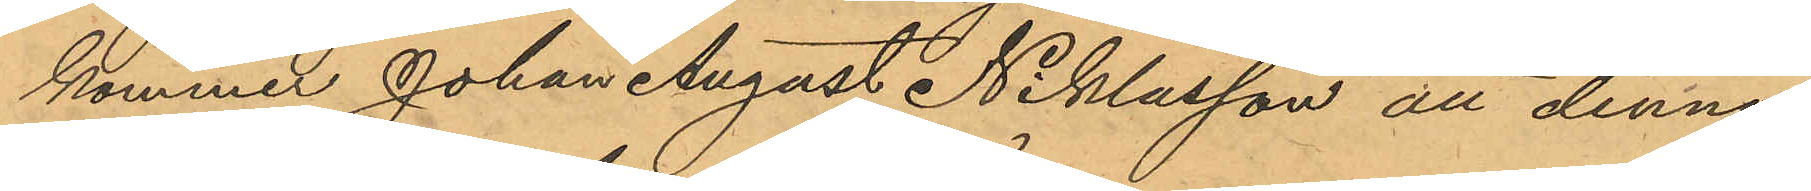kommet Johan August Niklasson att denna
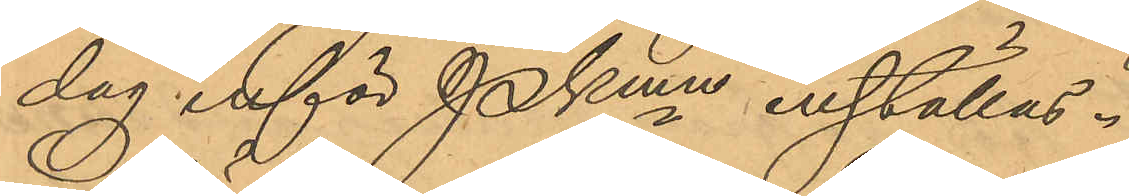dag inför PKmn inställas.
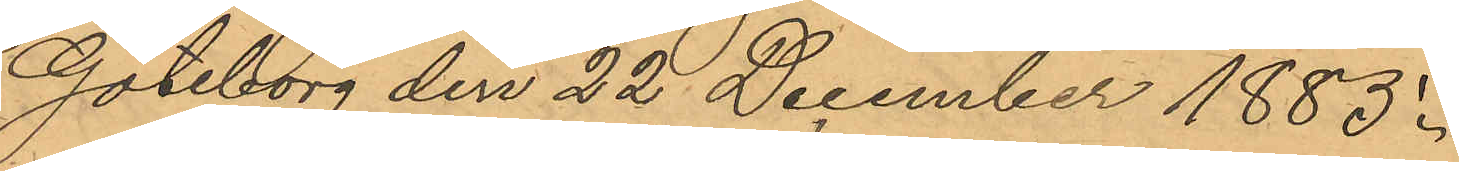Göteborg den 22 December 1885.
